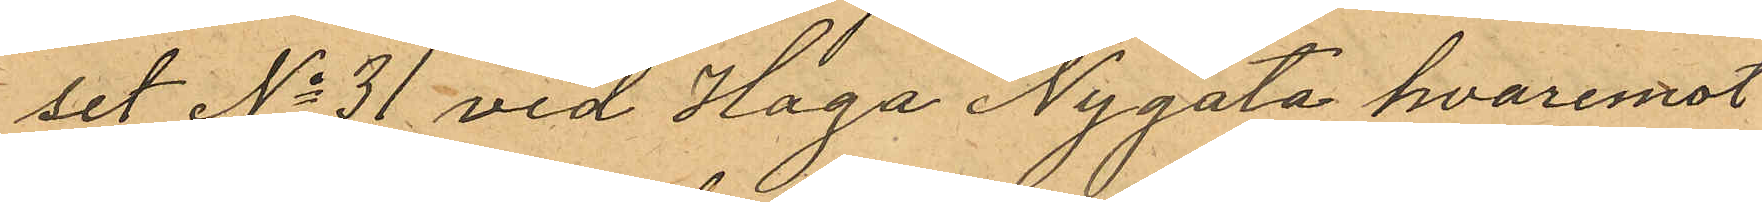set No 31 vid Haga Nygata hvaremot
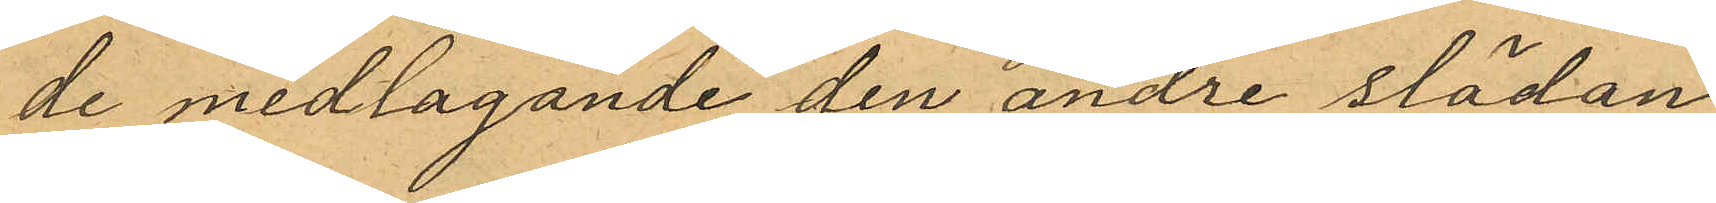de medtagande den andre slädan
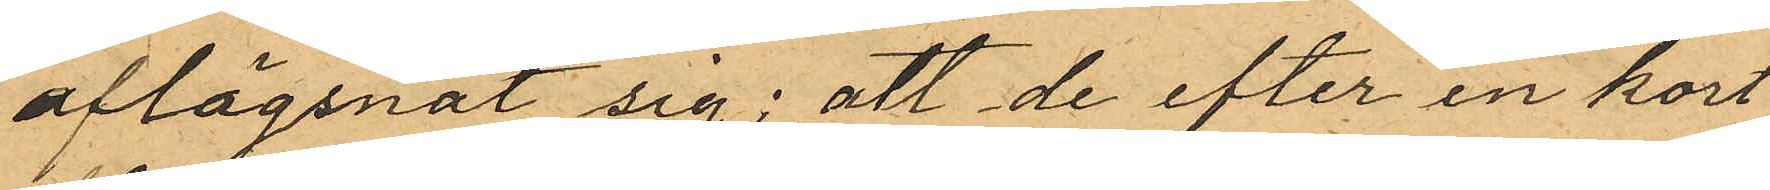aflägsnat sig; att de efter en kort
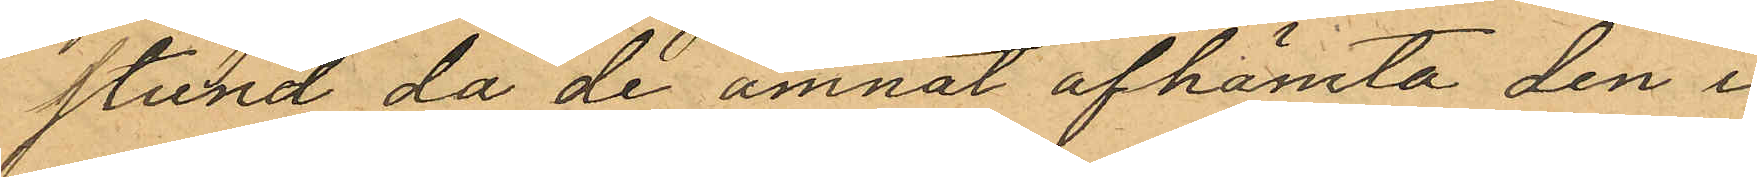stund då de ämnat afhämta den i
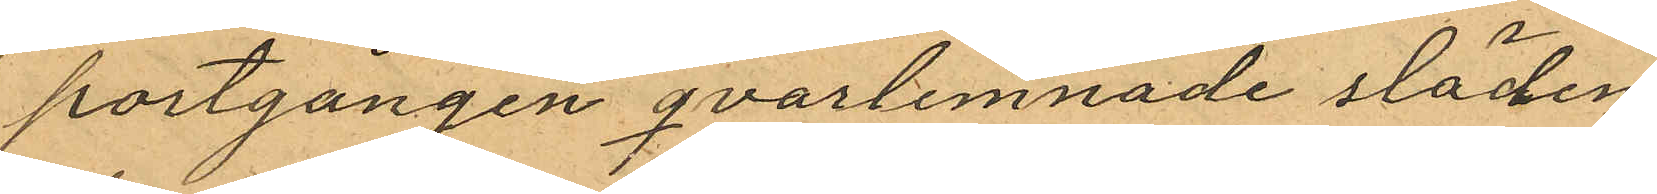portgången qvarlemnade släden
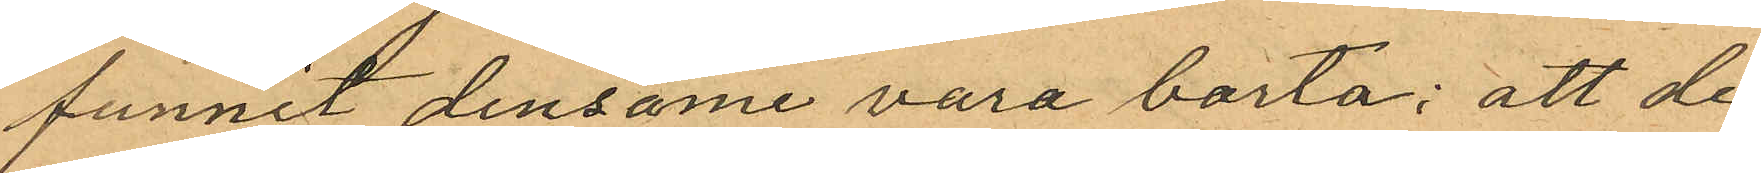funnit densame vara borta; att de
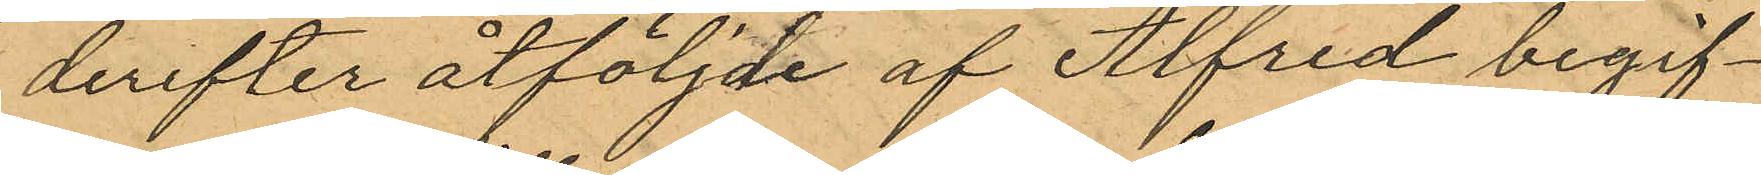derefter åtföljde af Alfred begif¬
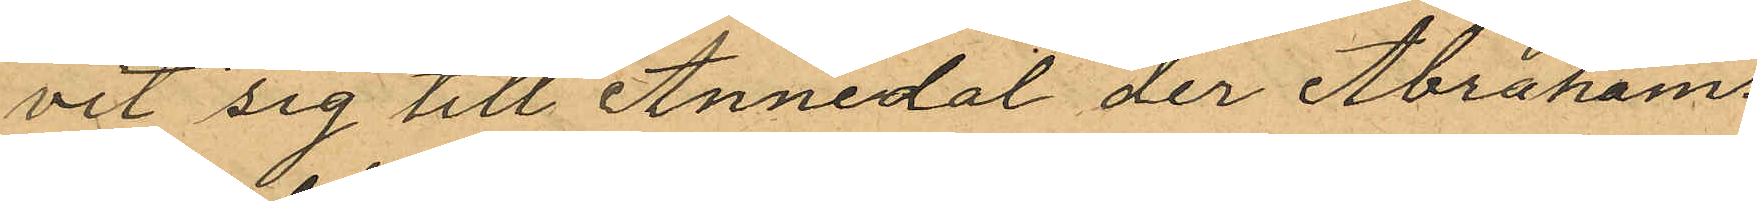vit sig till Annedal der Abrahams¬
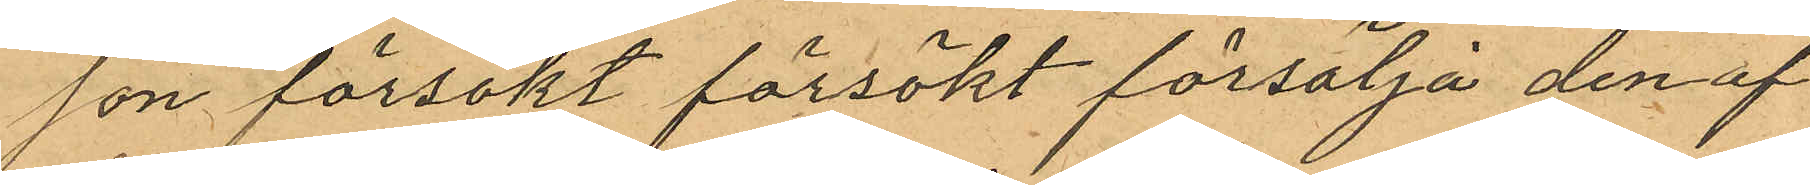son försökt försökt försälja den af
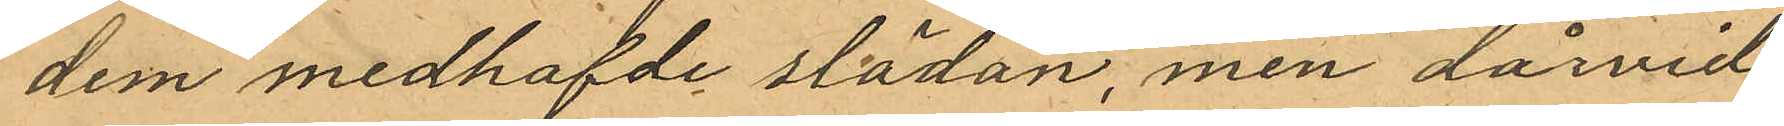dem medhafde slädan, men dårvid
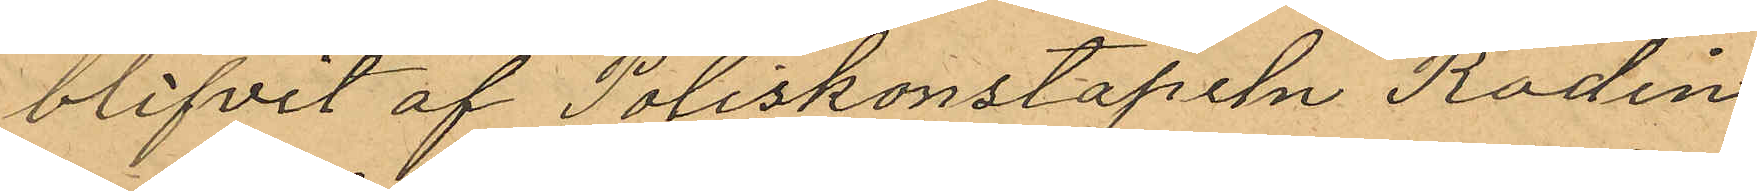blifvit af Poliskonstapeln Rodin
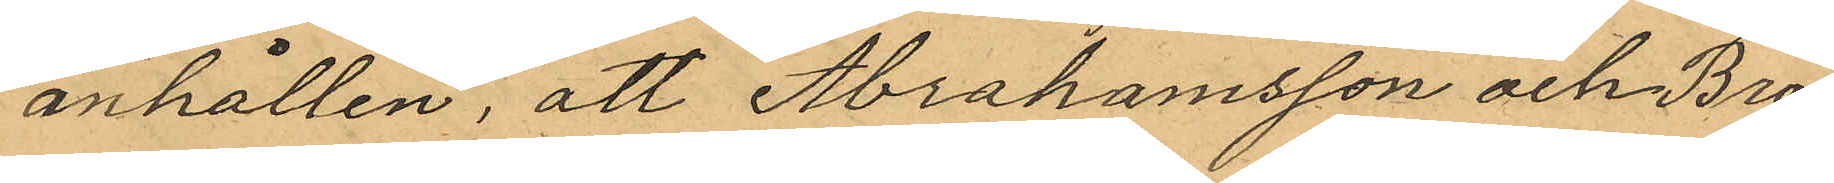anhållen, att Abrahamsson och Bro¬
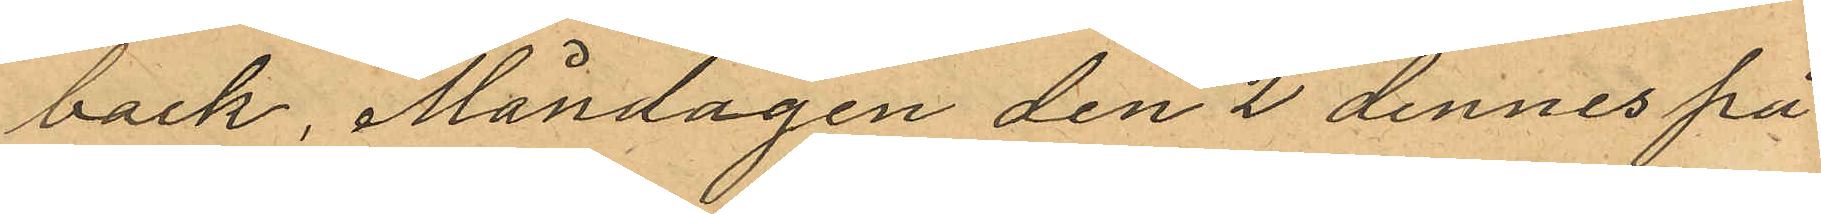back, Måndagen den 2 dennes på
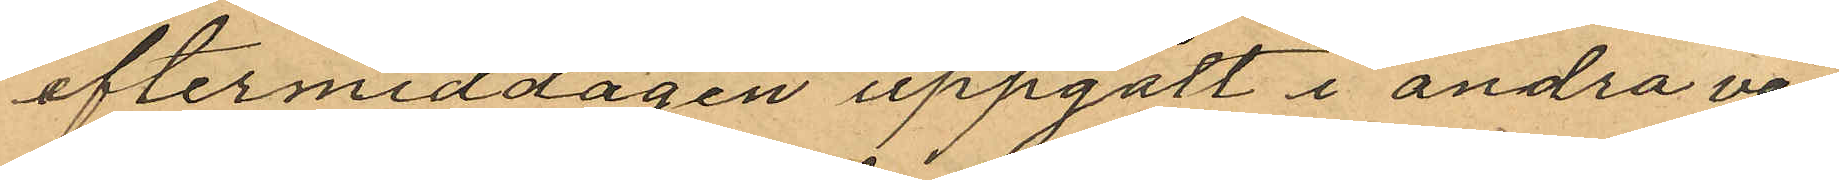eftermiddagen uppgått i andra vå¬
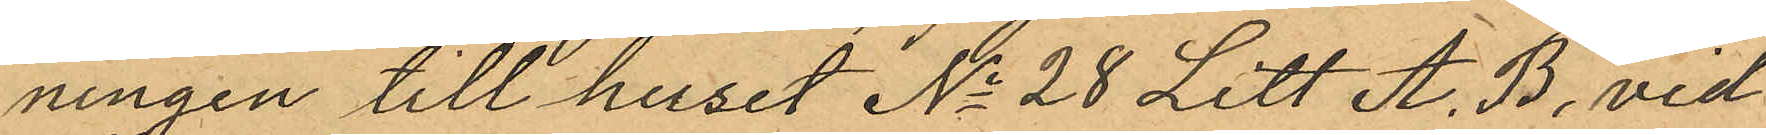ningen till huset No 28 Litt A. B. vid
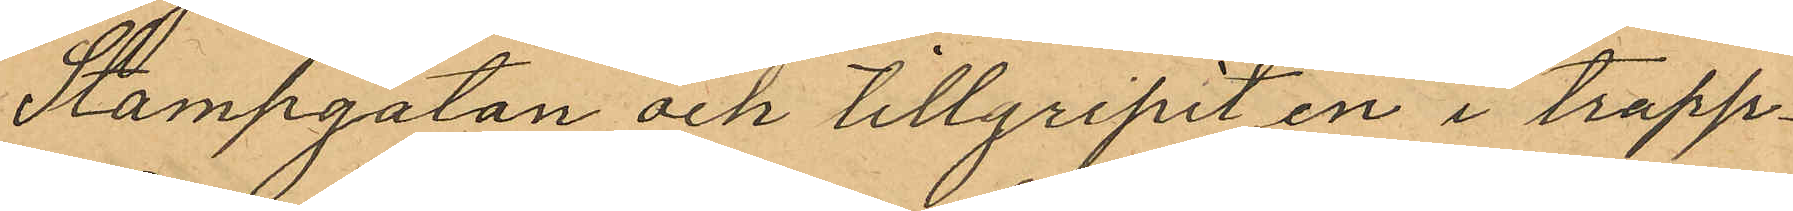Stampgatan och tillgripit en i trapp¬
